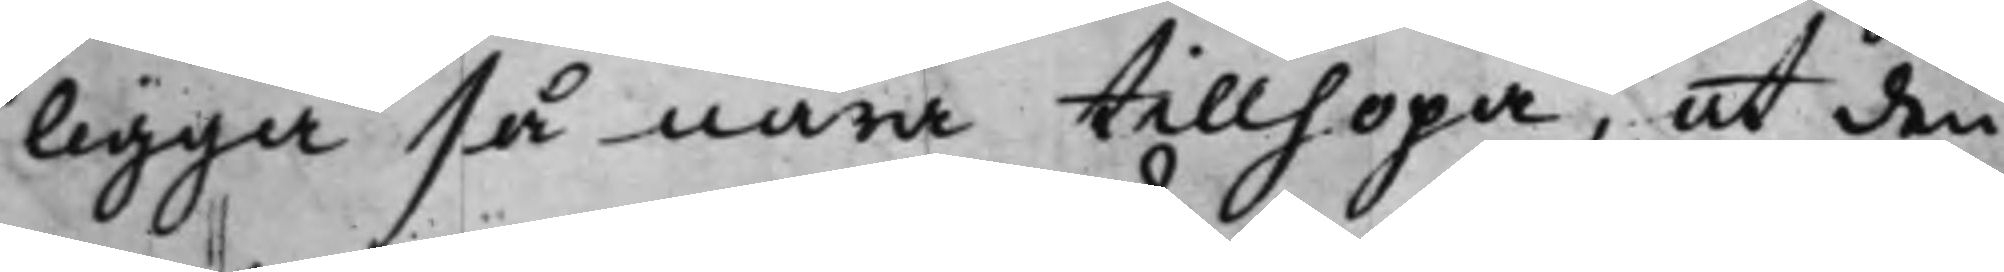ligga så nära tillhopa, at den
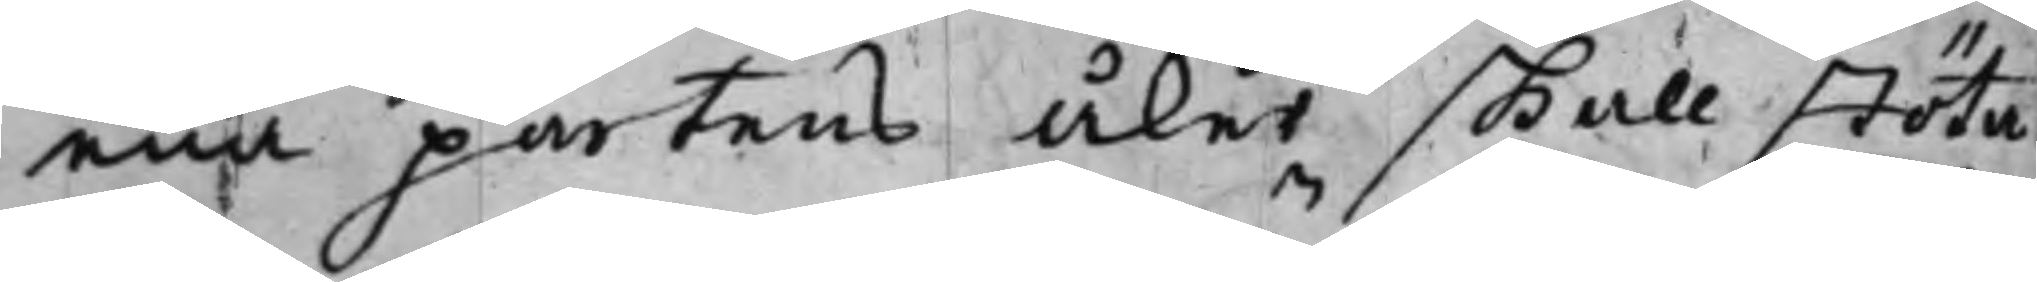ena partens Åker skall stöta
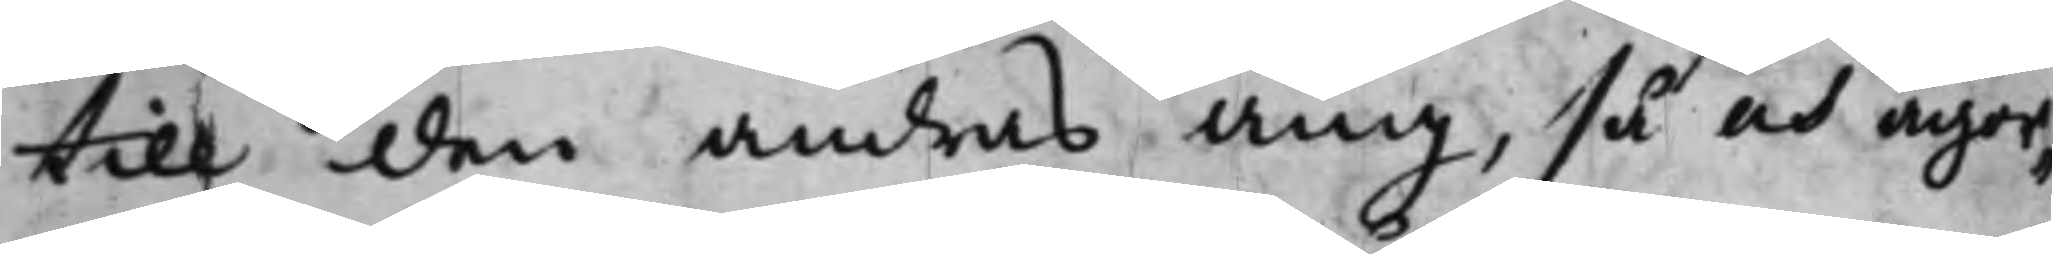till den andras Äng, så och ägor¬
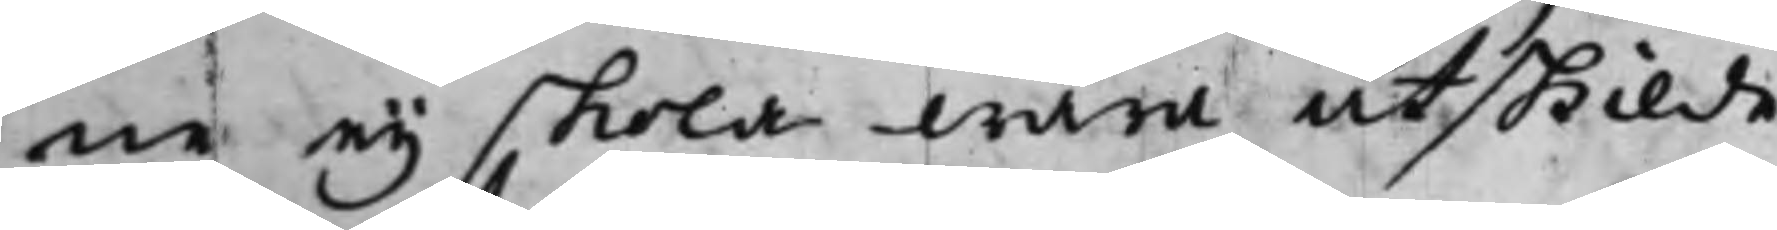ne ey skola wara åtskilde.
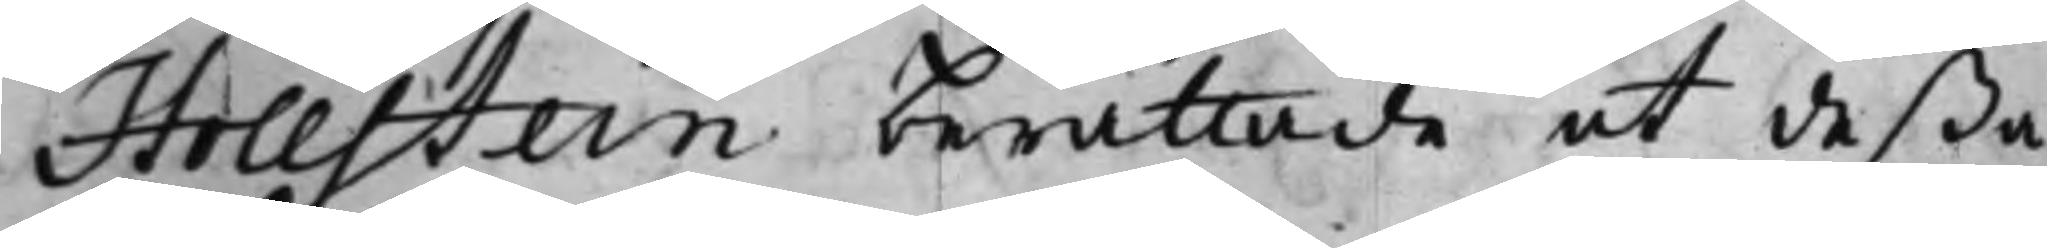Hollstein berättade at deßa
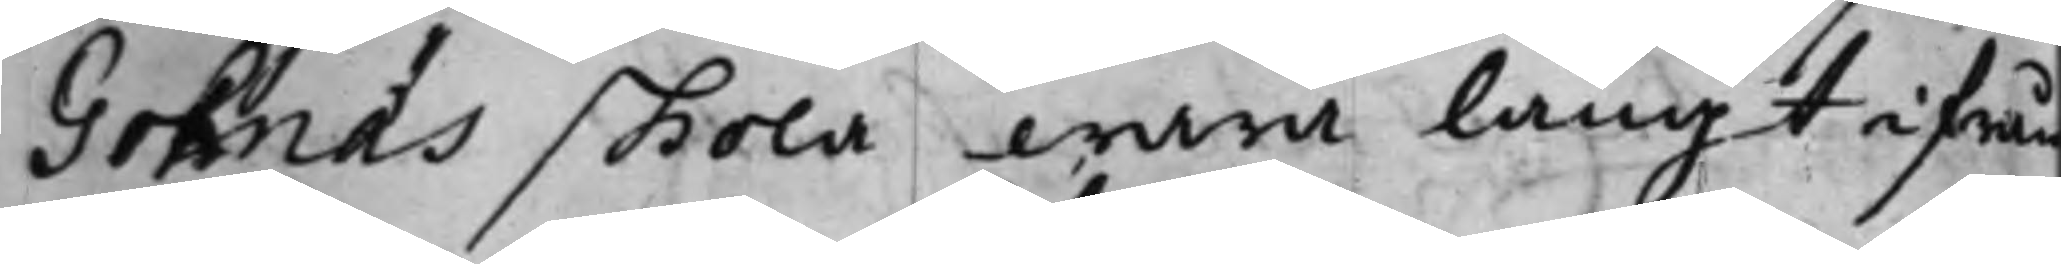Gohnäs skola wara långt ifrån
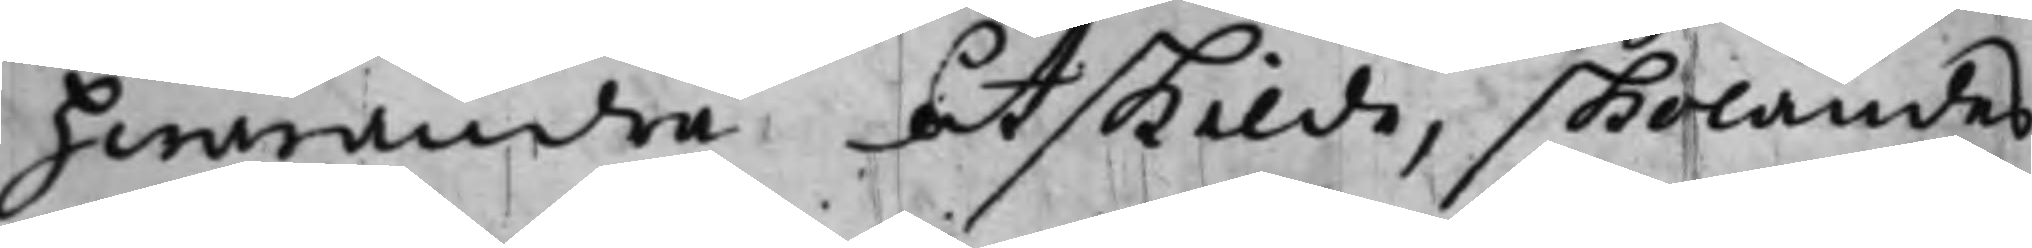hwarandra åtskilde, skolandes
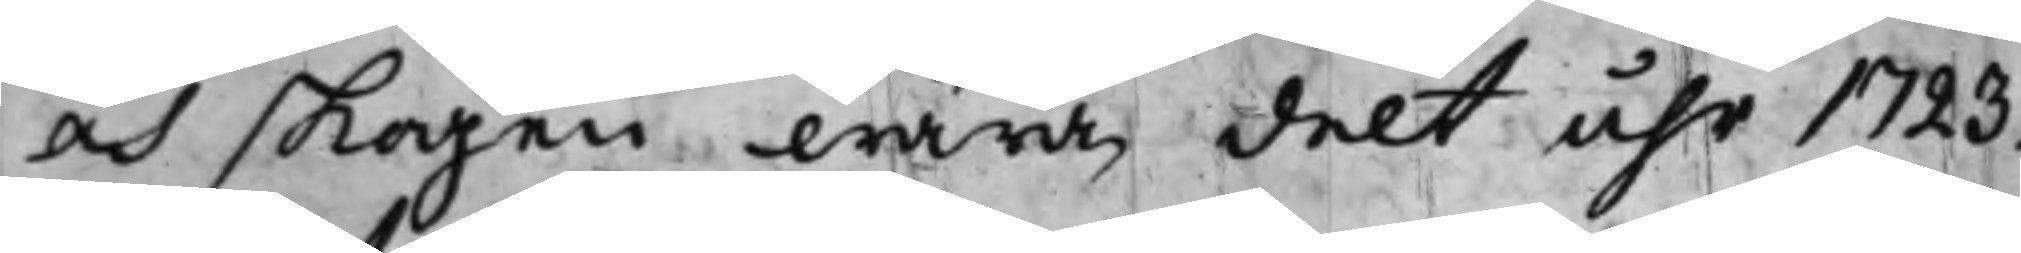och skogen wara delt åhr 1723.
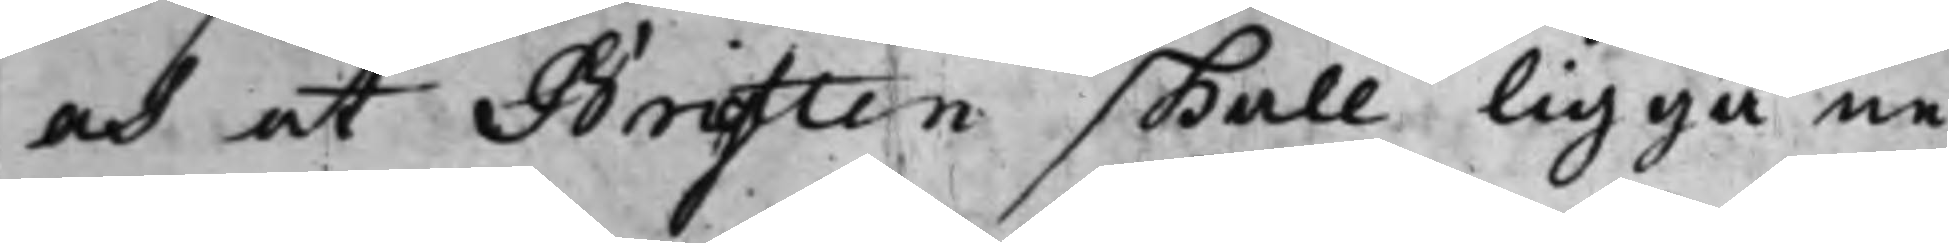och at Brytten skall ligga ne¬
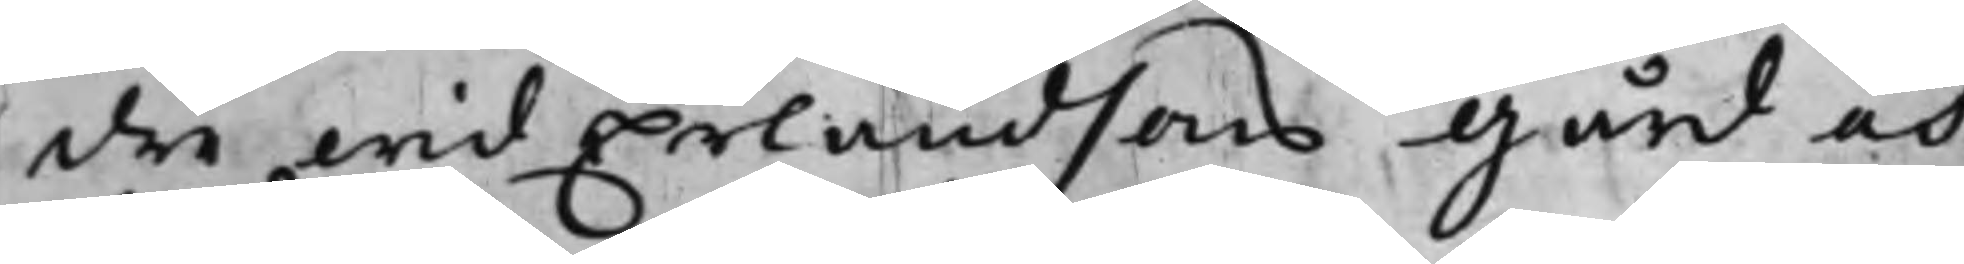dre wid Erlandsons Gård och
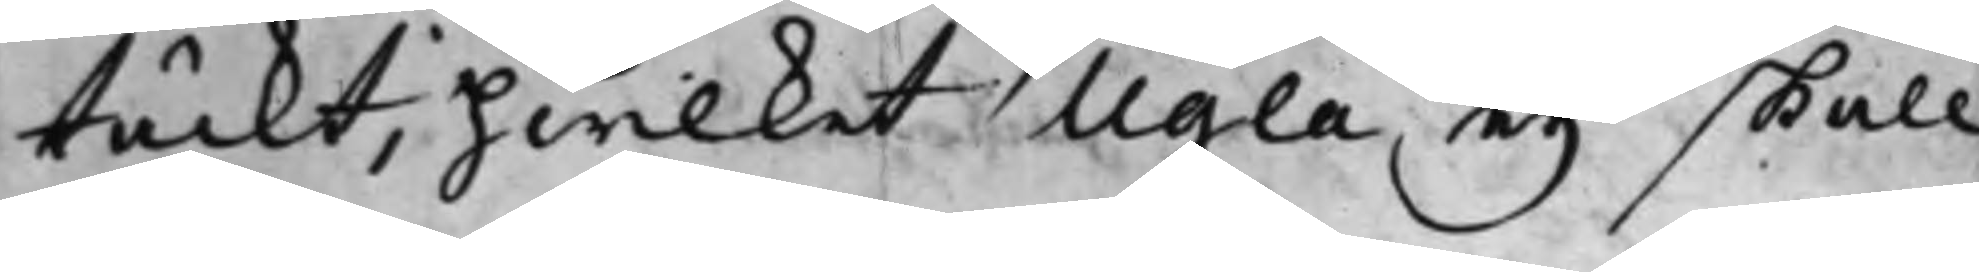täckt, hwilket Ugla eij skall
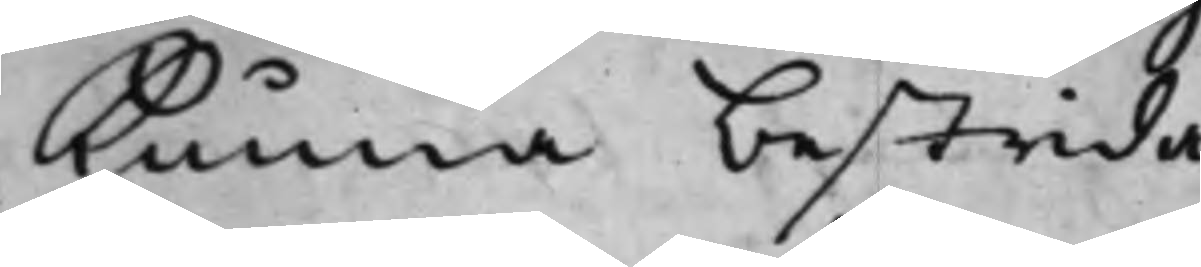kunna bestrida.
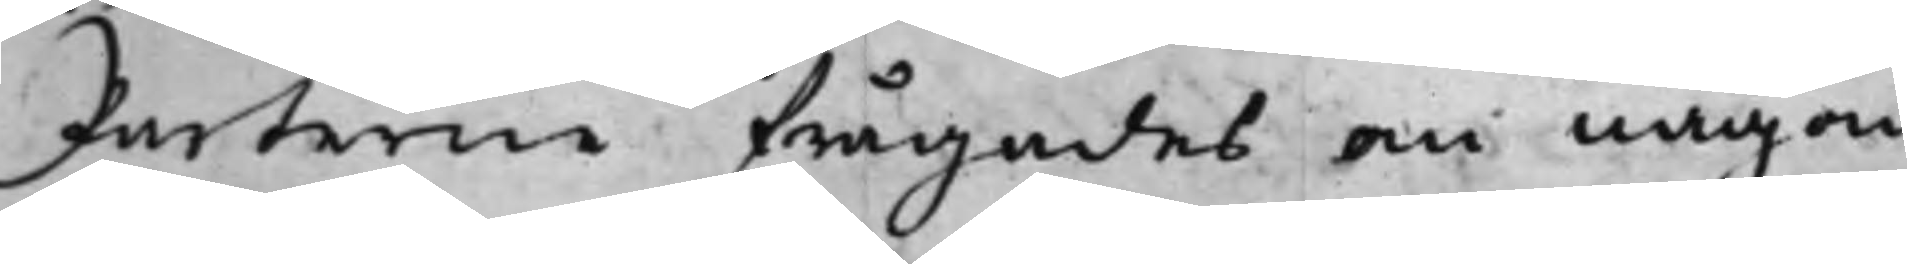Parterne frågades om någon
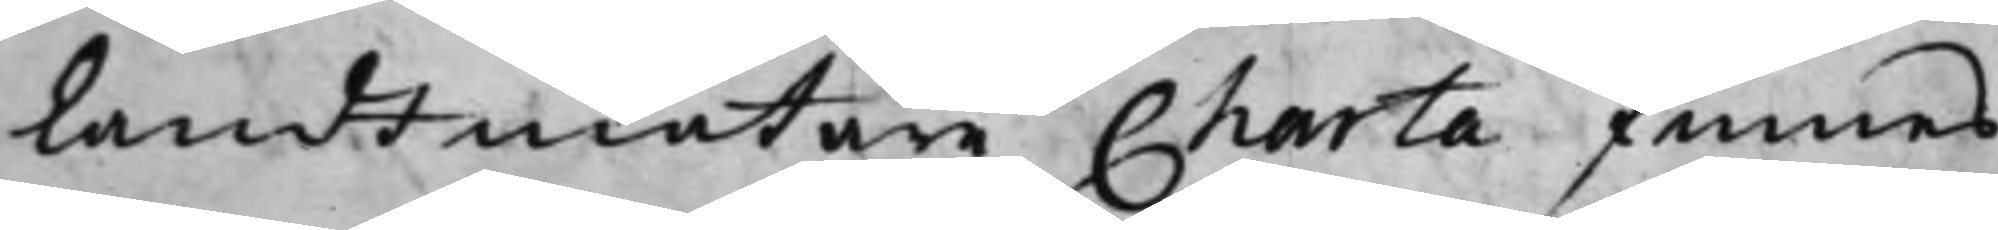Landtmätare Charta finnes
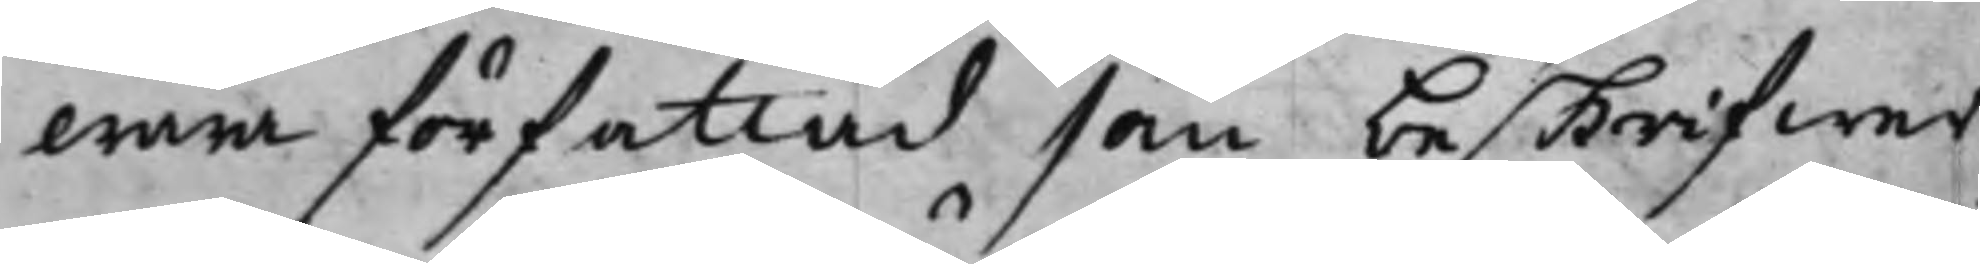wara författad som beskrifwer
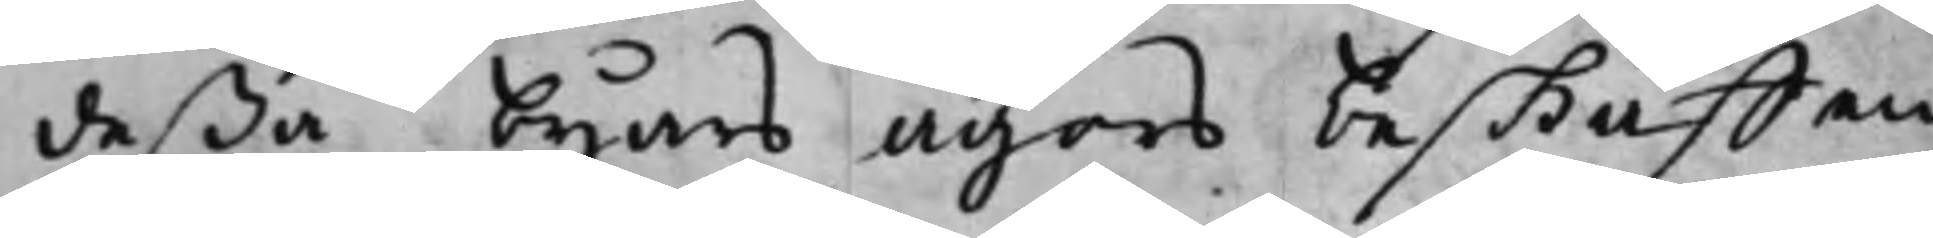deßa byars ägors beskaffan¬
